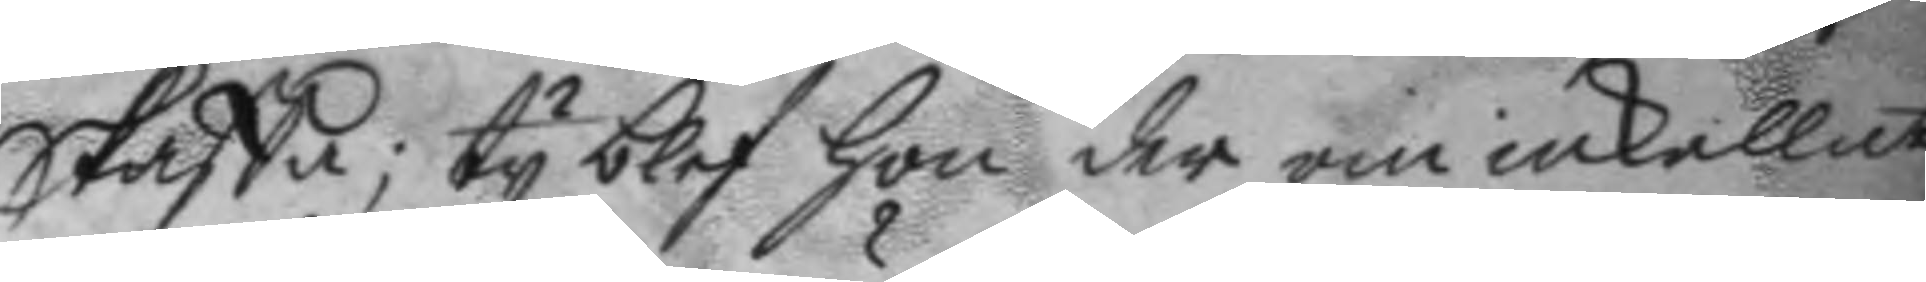Skaffa; ty blef hon der om inkallat
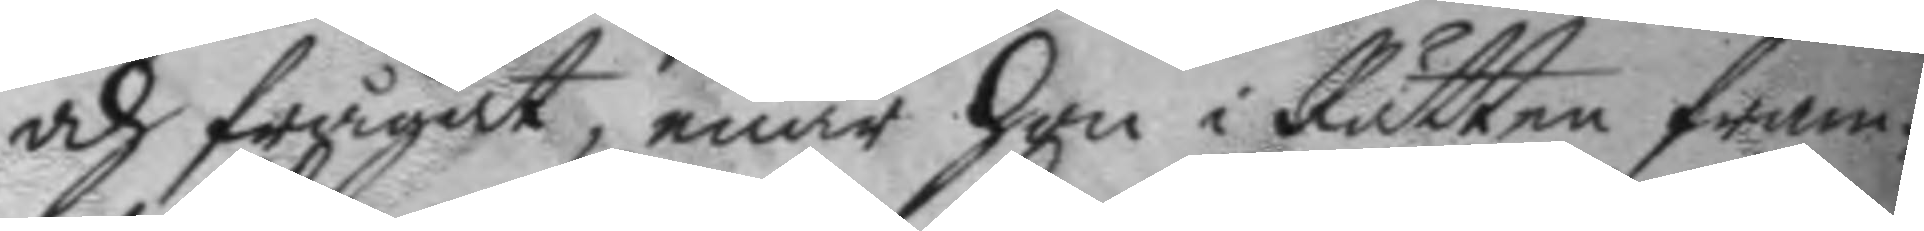och frågat, enär hon i Rätten fram¬
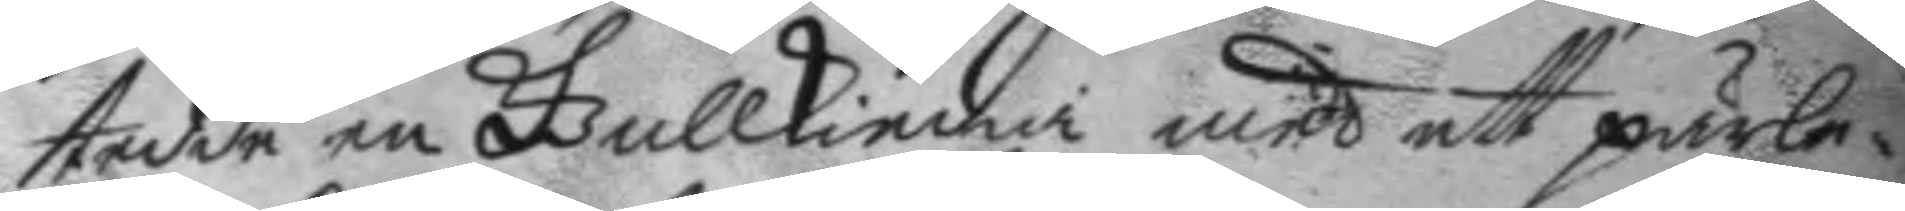tedde en Gullkiedia med ett pärle¬
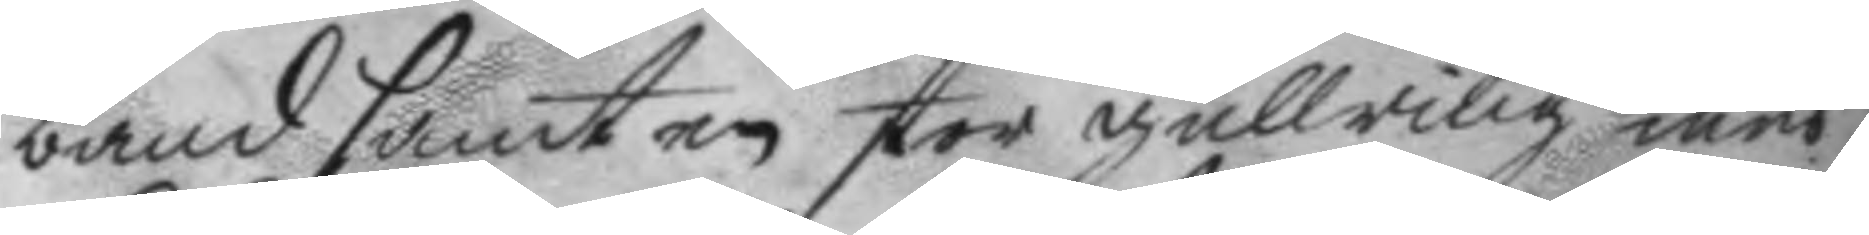band samt en stor gullring med
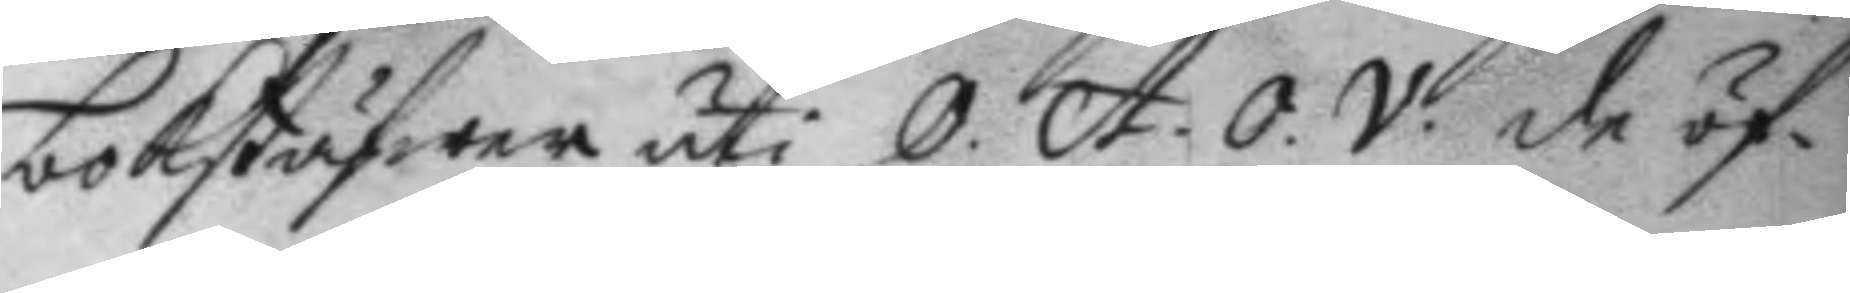bokstäfwer uti O. A. O. V. de öf¬
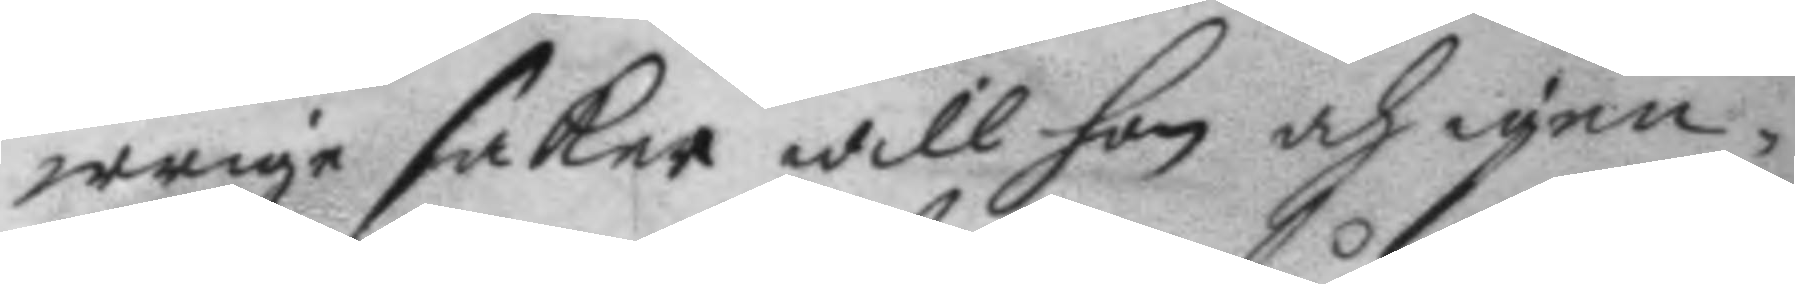wrige saker will hon och igen¬
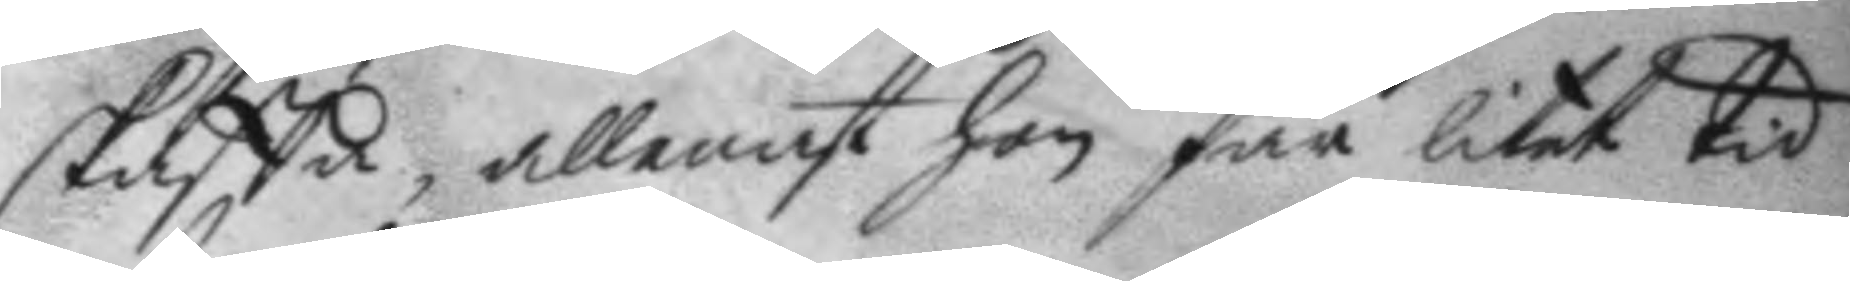skaffa, allenast hon får litet tid
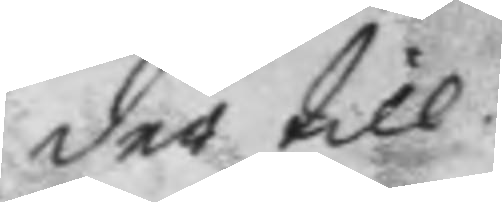der till.
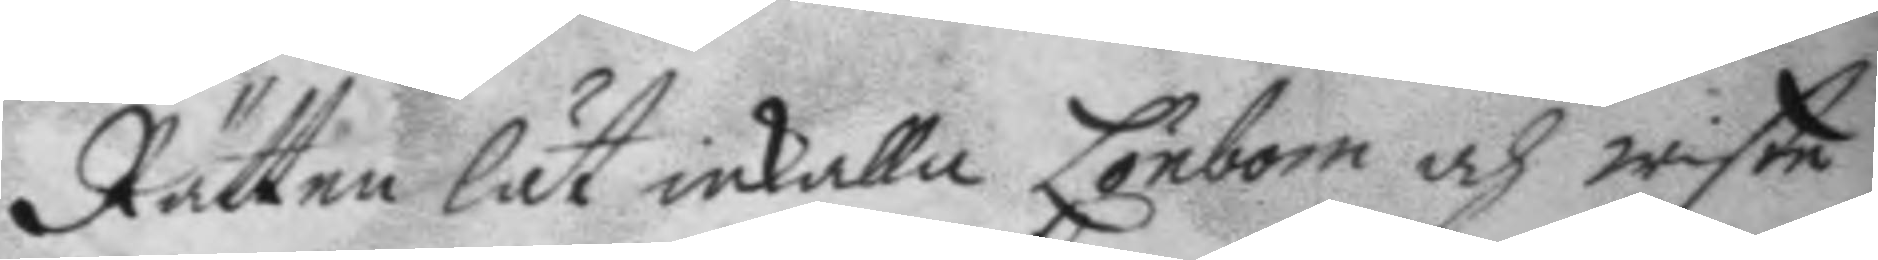Rätten lät inkalla Lönbom och wiste
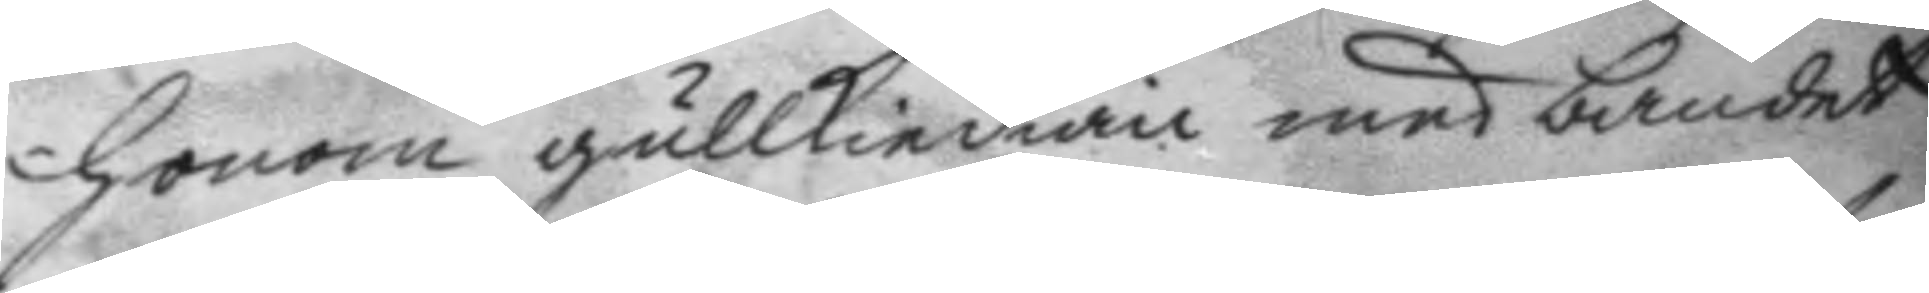honom gullkiedian med bandet
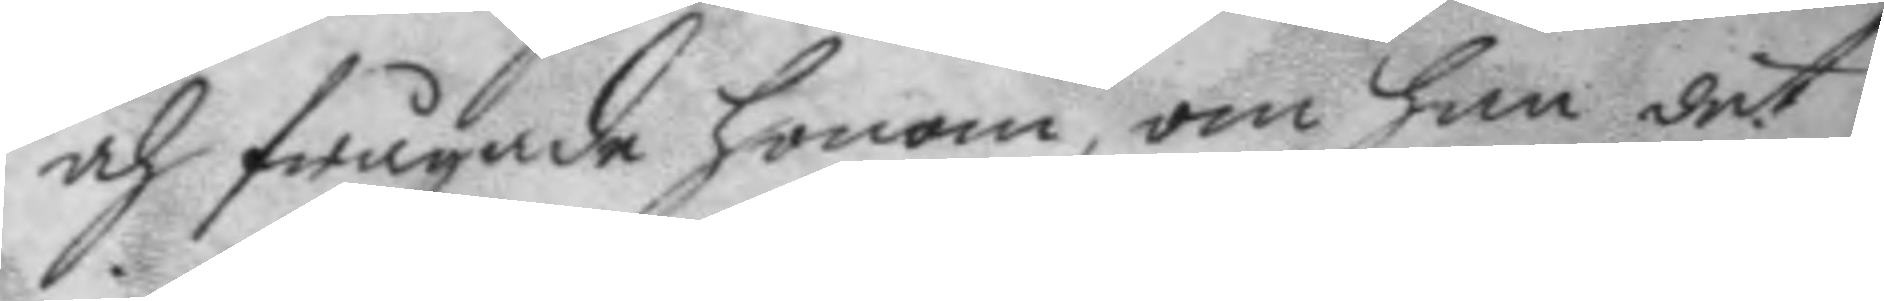och frågade honom, om han det
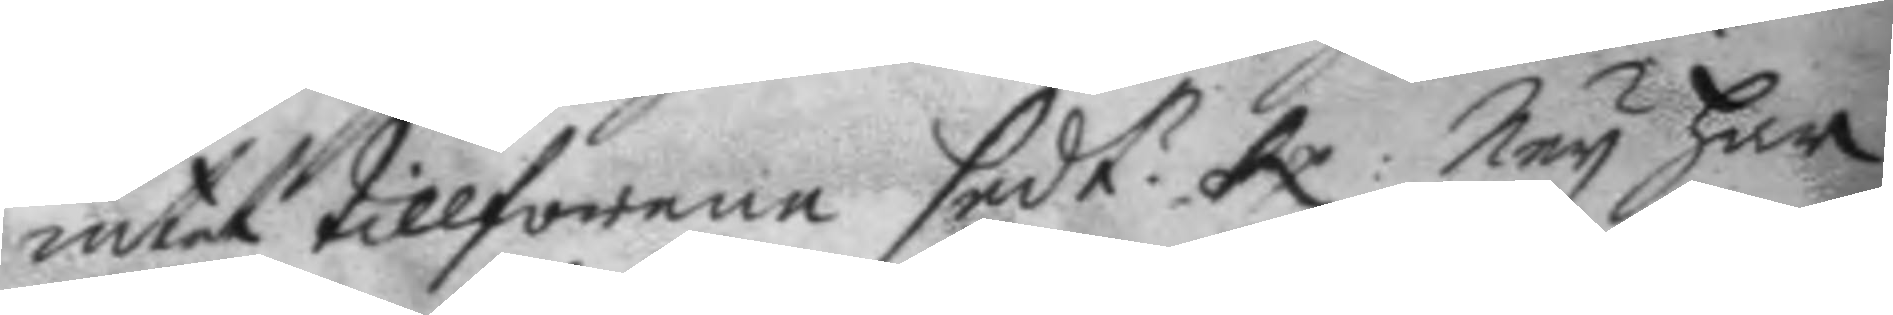intet tillförene sedt? Rp. Ney har
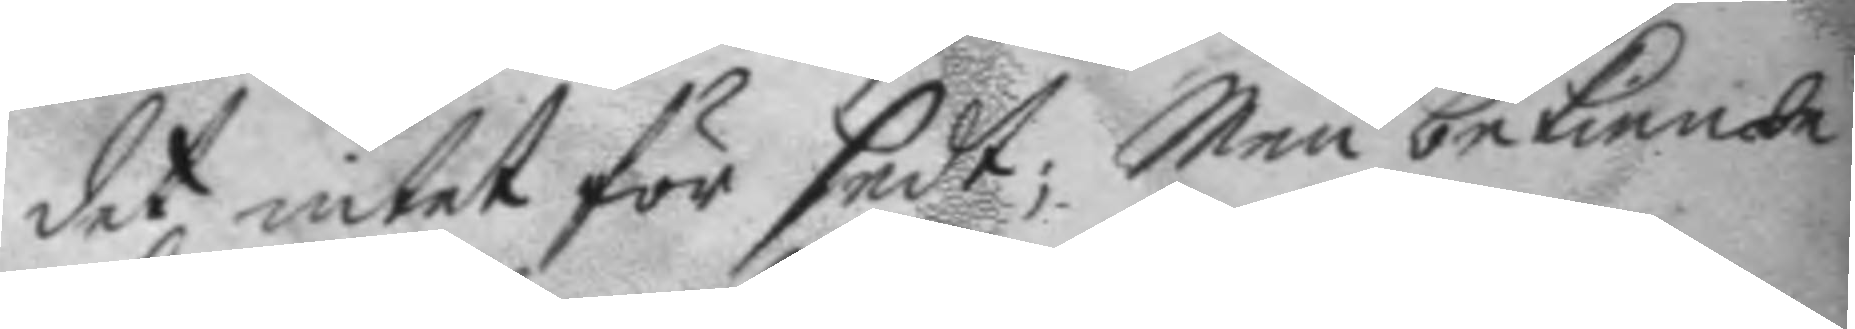det intet för sedt; Men bekiende
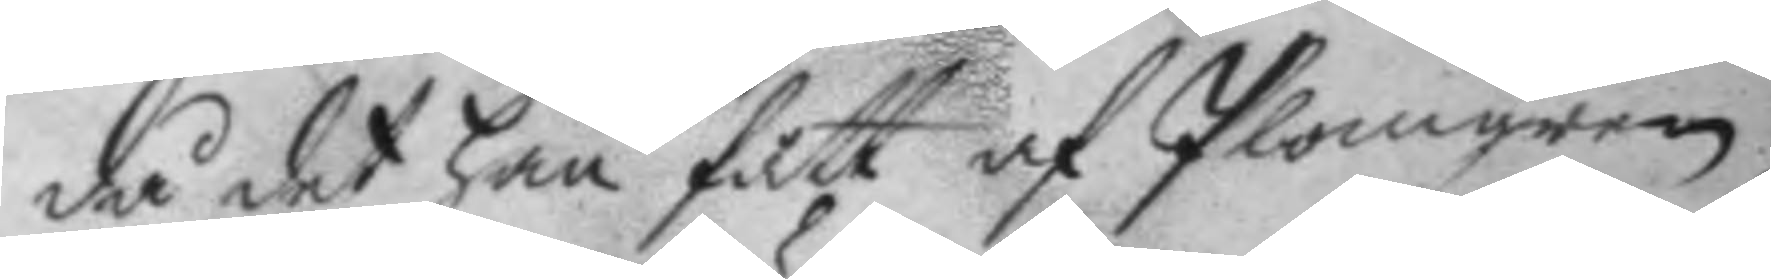då det han fått af Plomgren
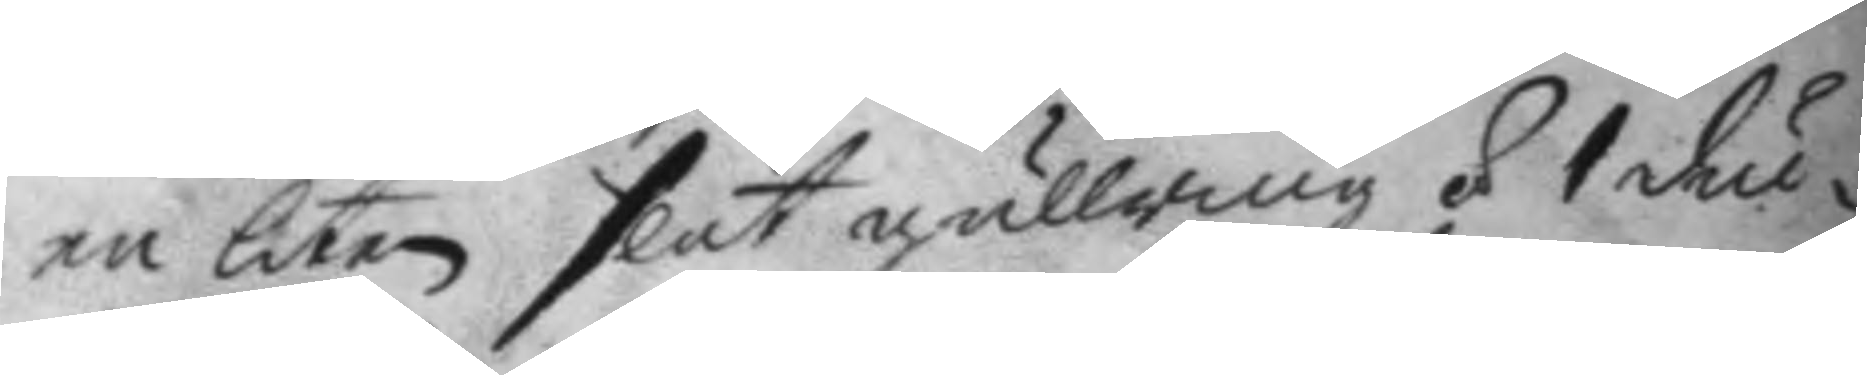en liten slät gullring á 1 du¬
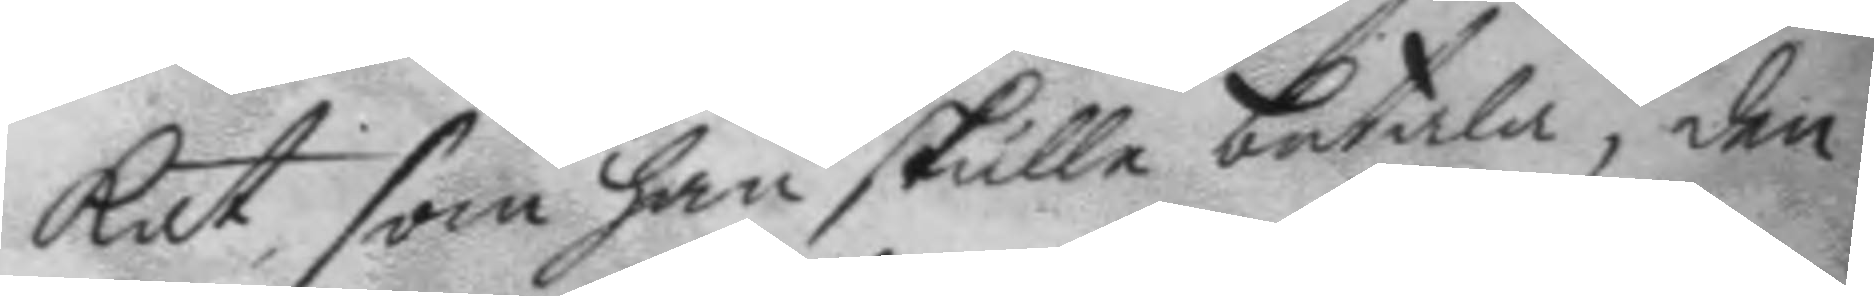kat, som han skulle betala, den
